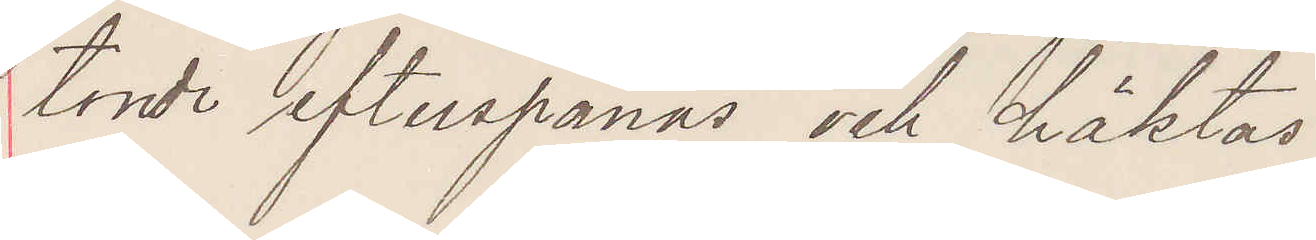torde efterspanas och häktas.
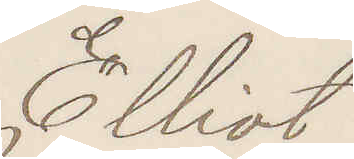Elliot
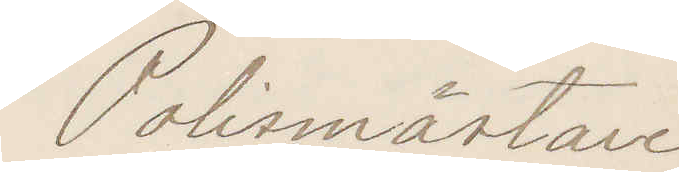Polismästare
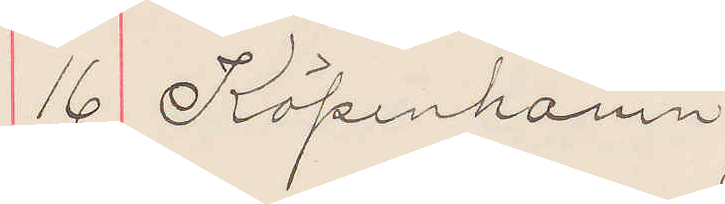16 Köpenhamn
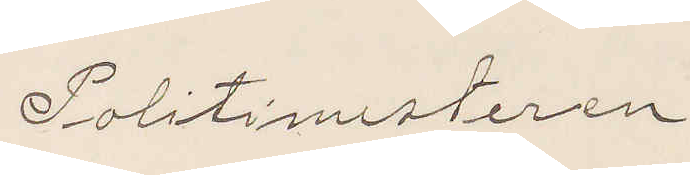Politimesteren
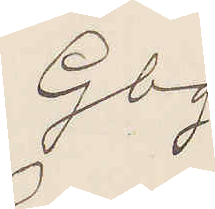Gbg.
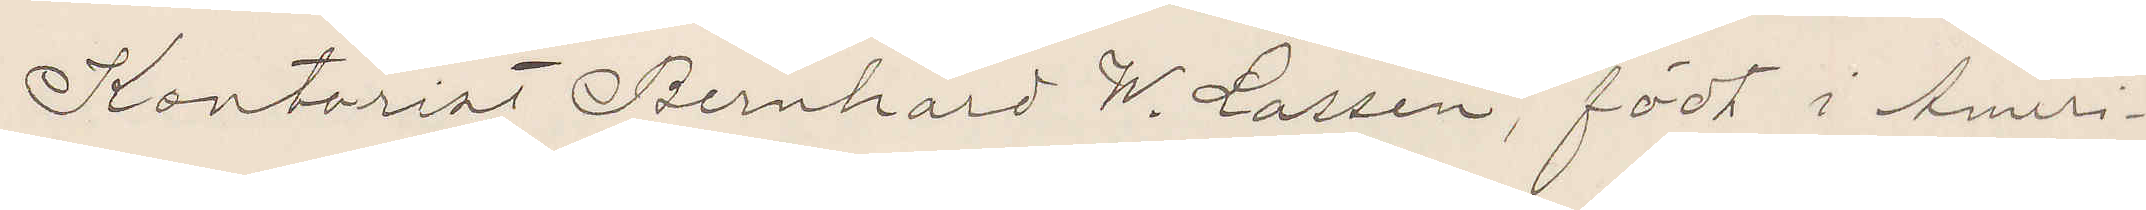Kontorist Bernhard W. Larsen, födt i Ameri¬
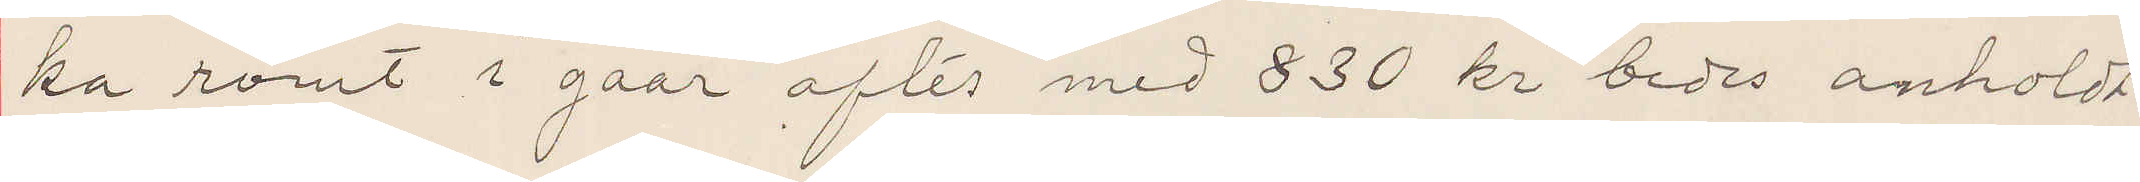ka römt i gaar aftes med 830 kr bedes anholdt.
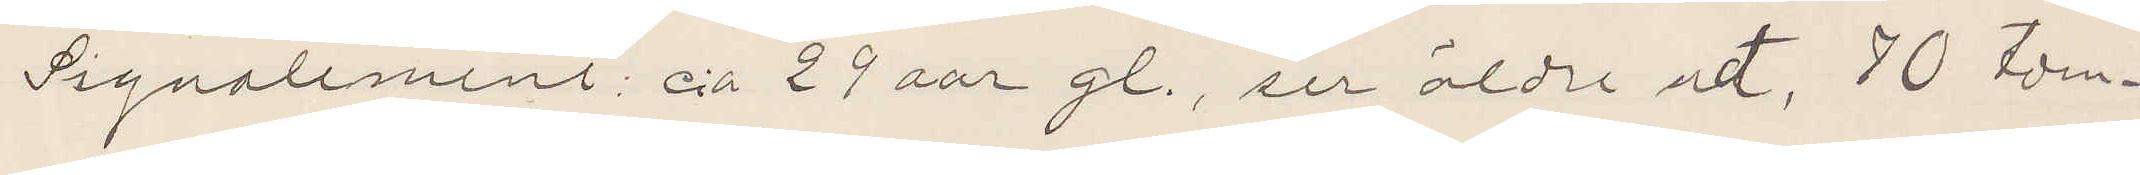Signalement c:a 29 aar gl, ser äldre udt, 70 tom¬
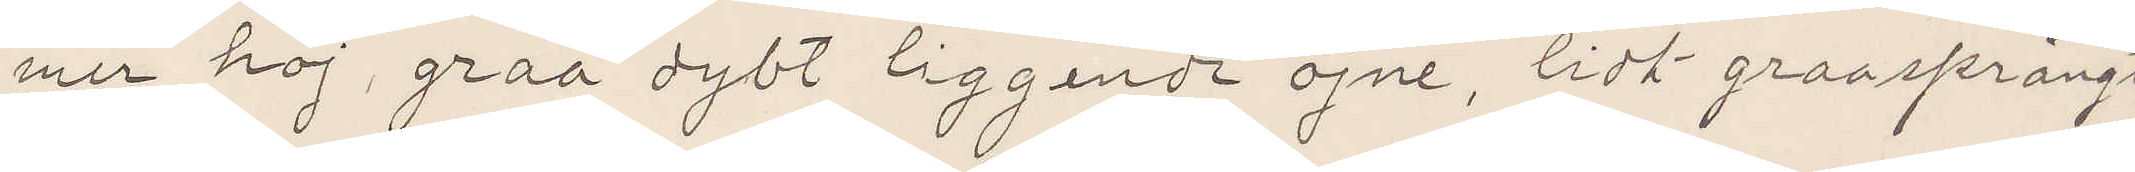mer höj, graa dybt liggende öjne, lidt graasprängt
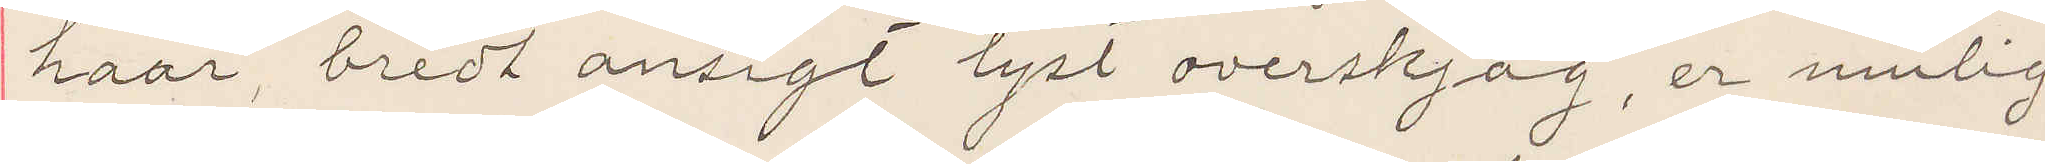haar, bredt ansigt lyst overskjag, er mulig
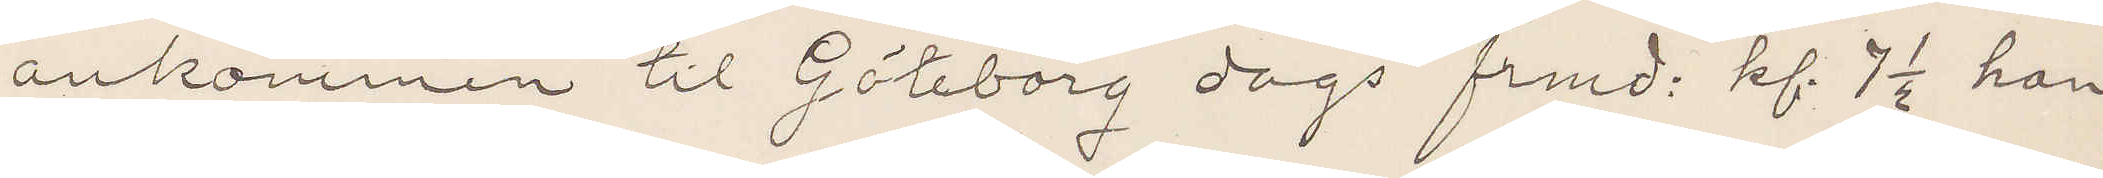ankommen til Göteborg dags frmd: kl 7 ½ han
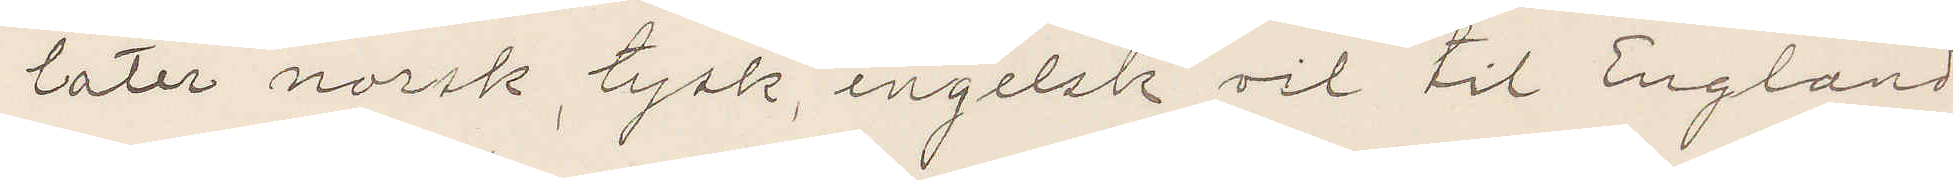later norsk, tysk, engelsk vil til England
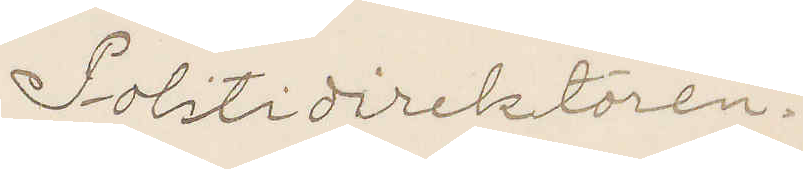Politidirektören.
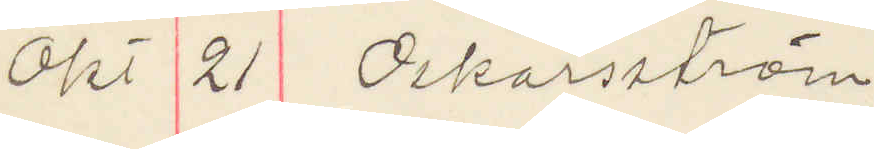Okt 21 Oskarström
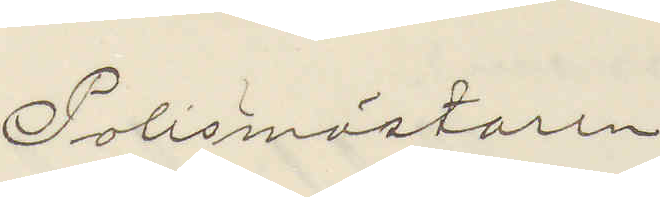Polismästaren
